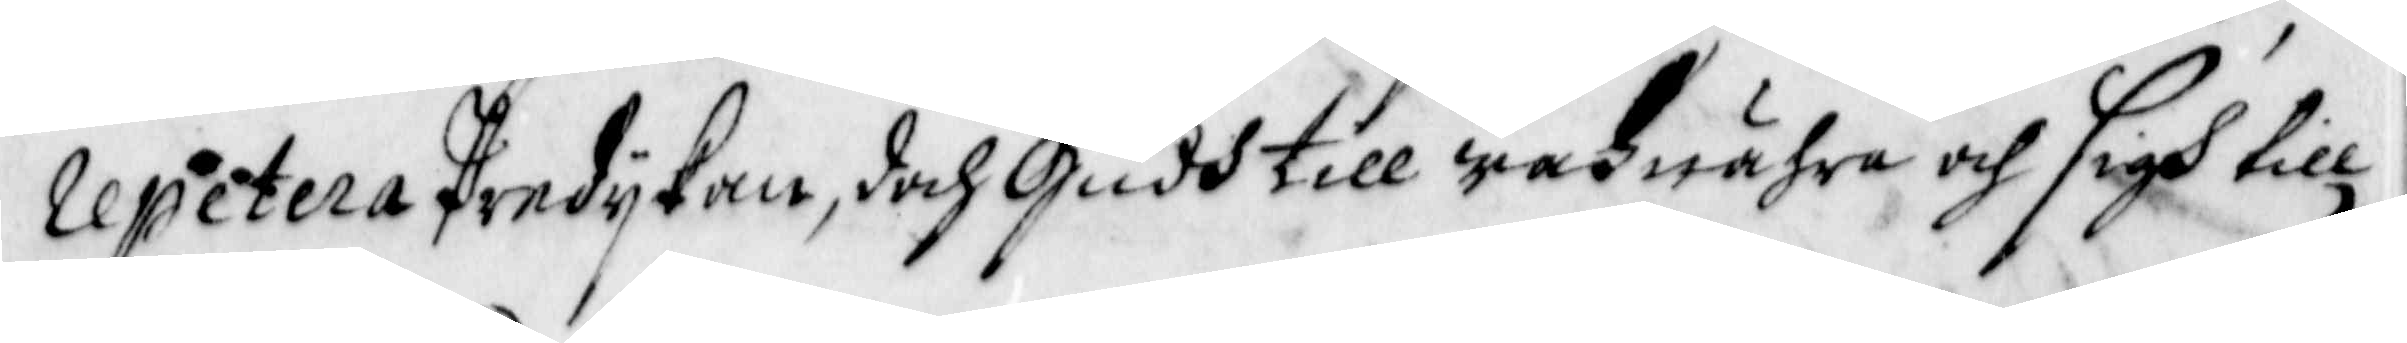repetera Predykan, doch Gudh till wahnähra och sigh till
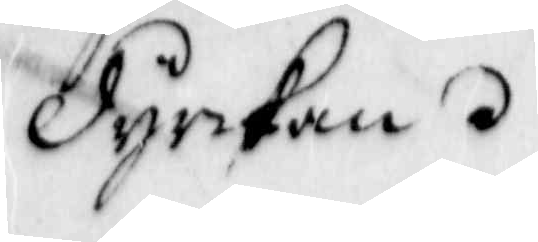Dyrkan
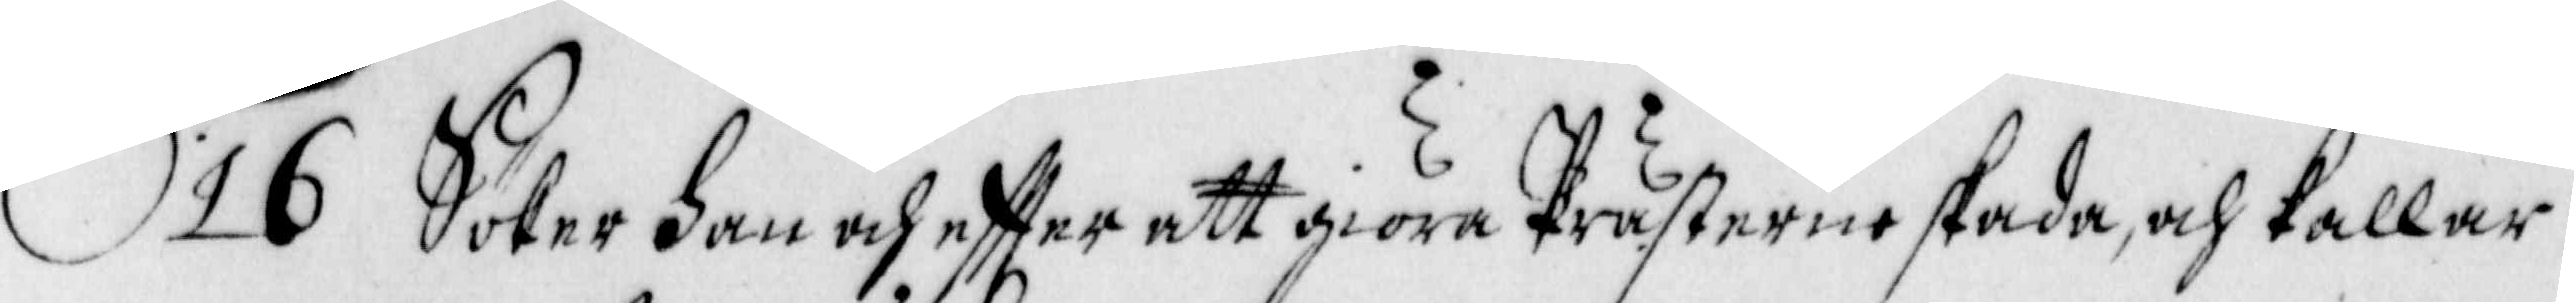16 Söker han och eftter att giöra Prästerne skada, och kallar
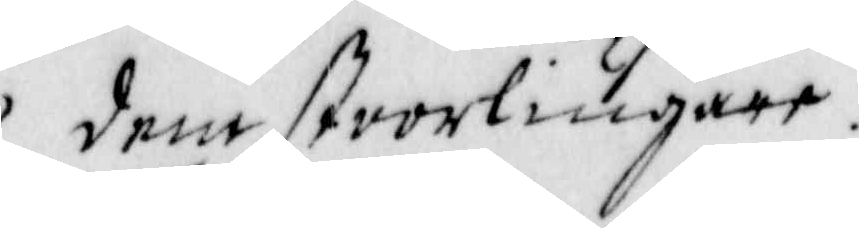dem stoorliugare.
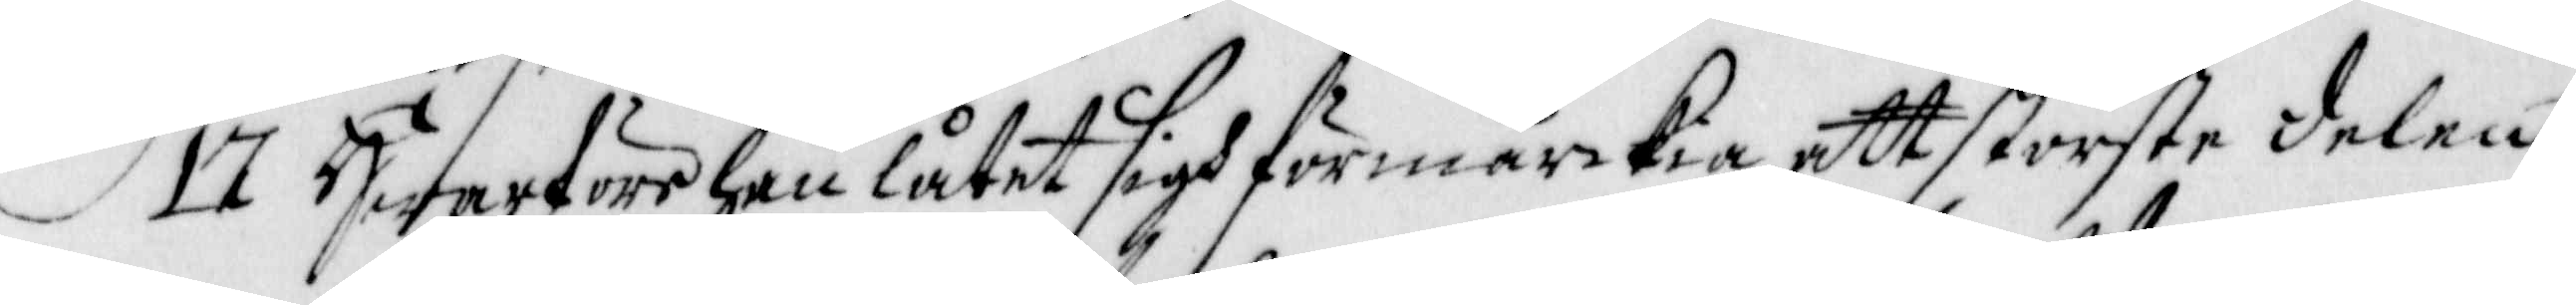17 Hwarföre han låtet sigh förmärckia, att störste delen
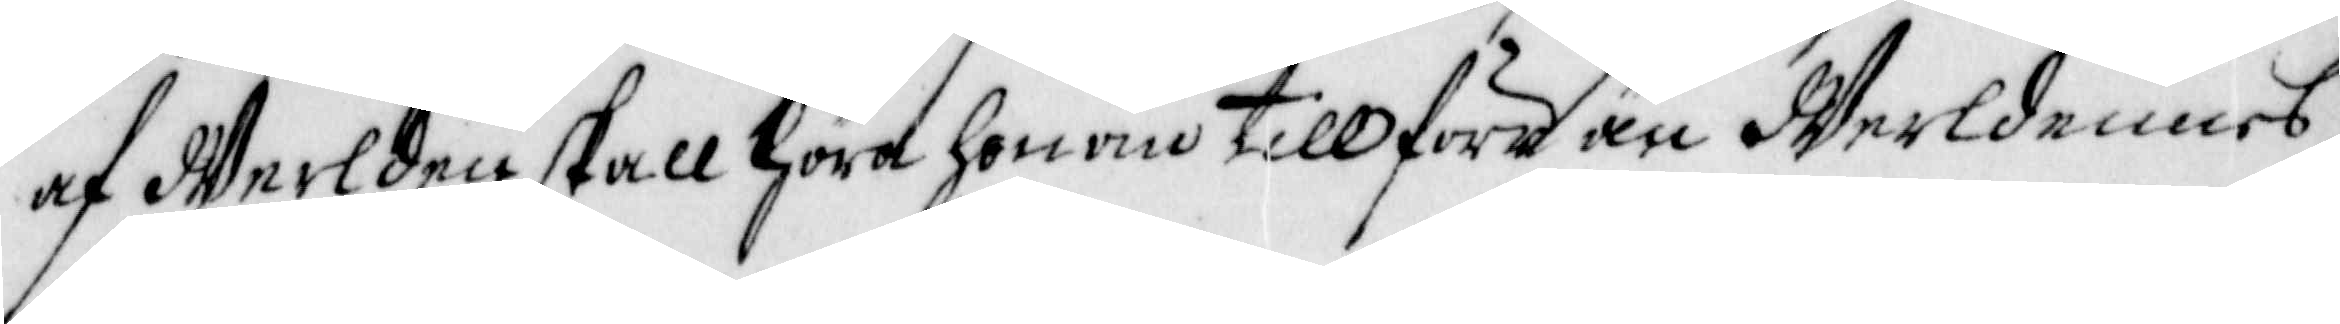af Werlden skall höra honom till förr än Werldennrs
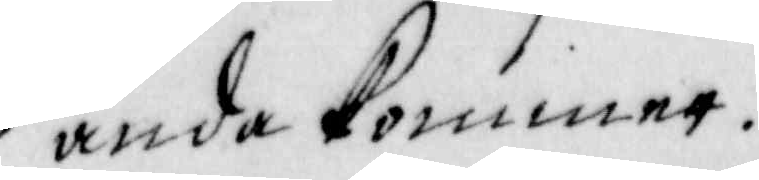ända kommer.
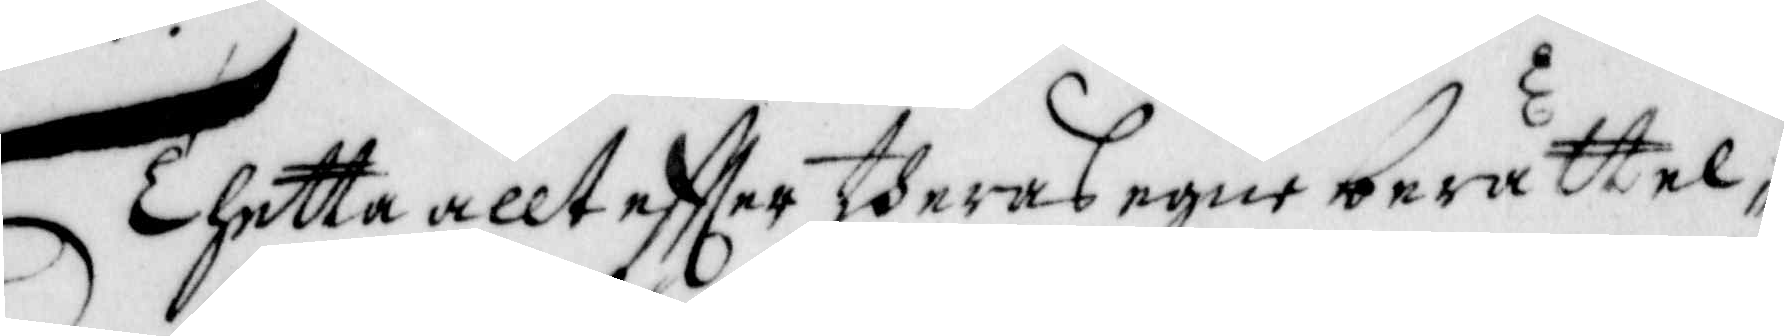Thetta allt eftter theras egne berättel¬
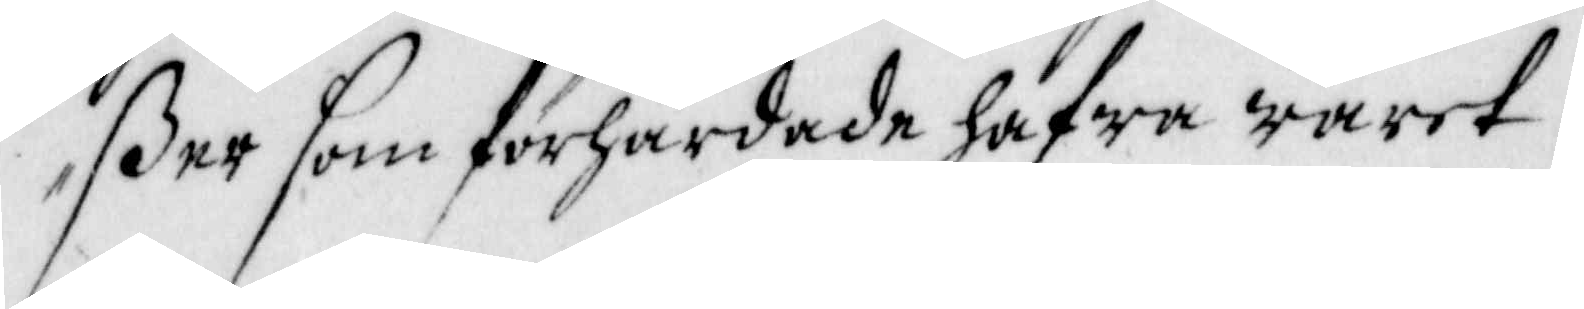ßer som förhärdade hafwa waret.
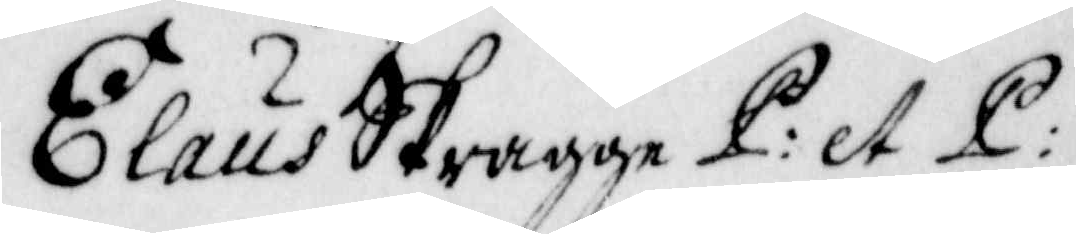Elaus Skragge P: et L:
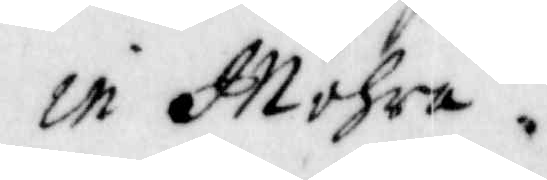in Mohra.
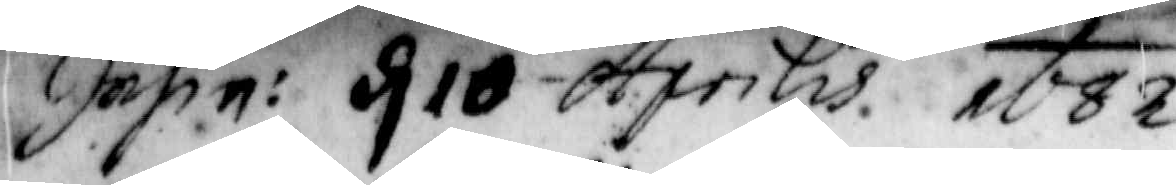Insin: d. 10 Aprilis. 1682
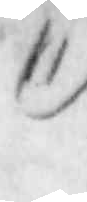11)
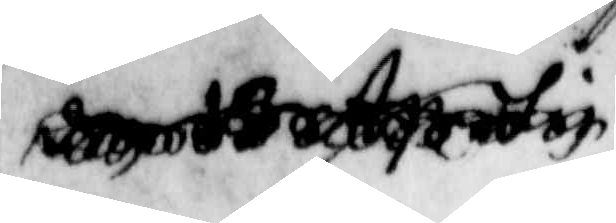den 10 Aprilis
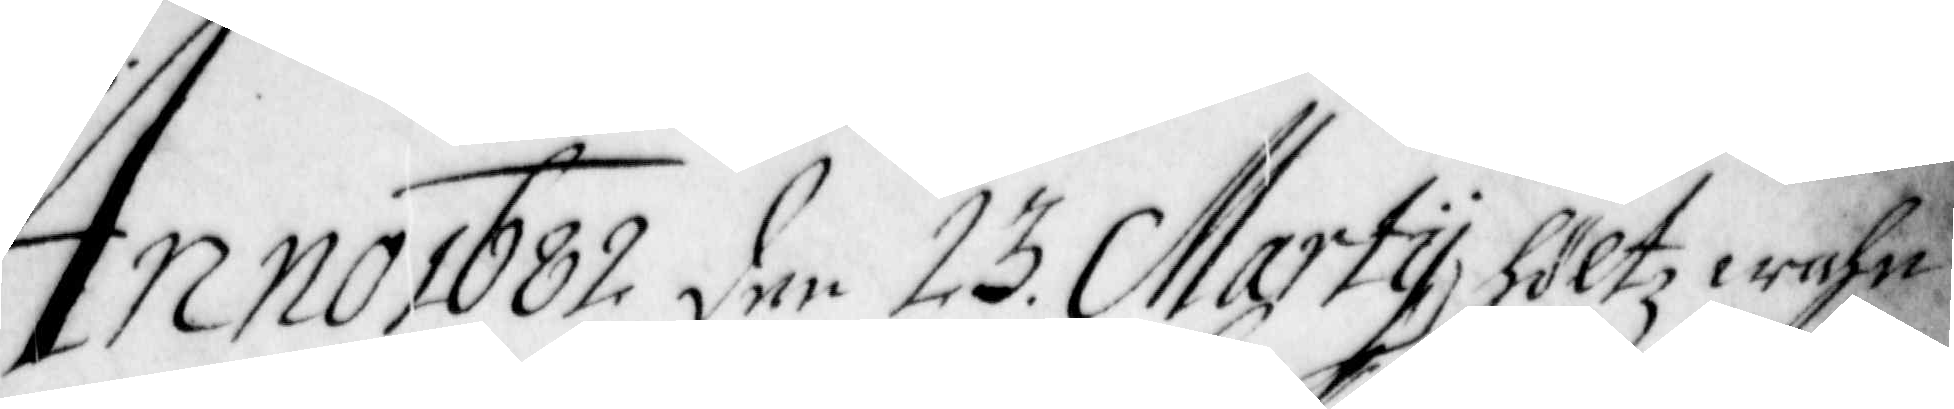Anno 1682 den 23 Martij, höltz wahn¬
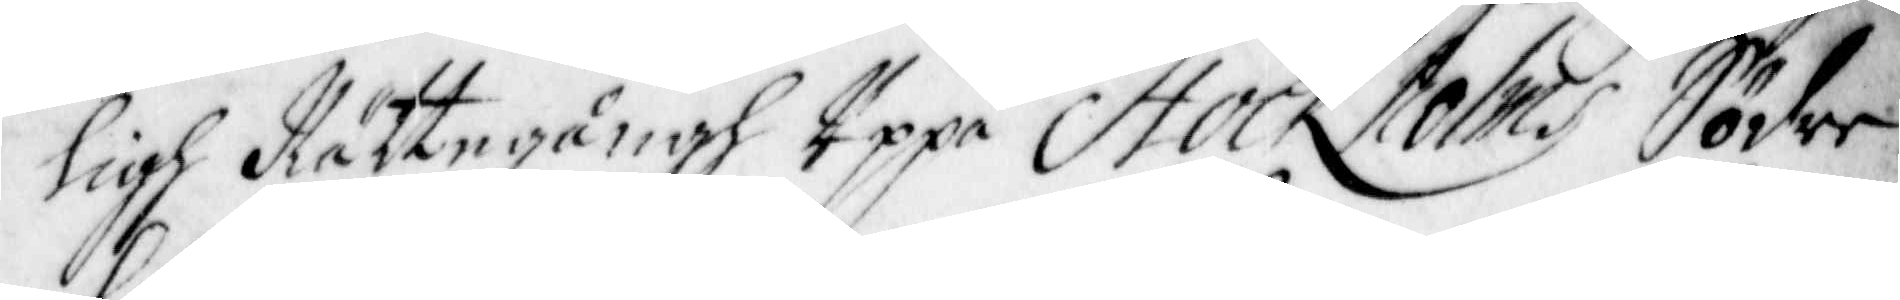ligh Rättegångh Uppå Stockholms Söder
